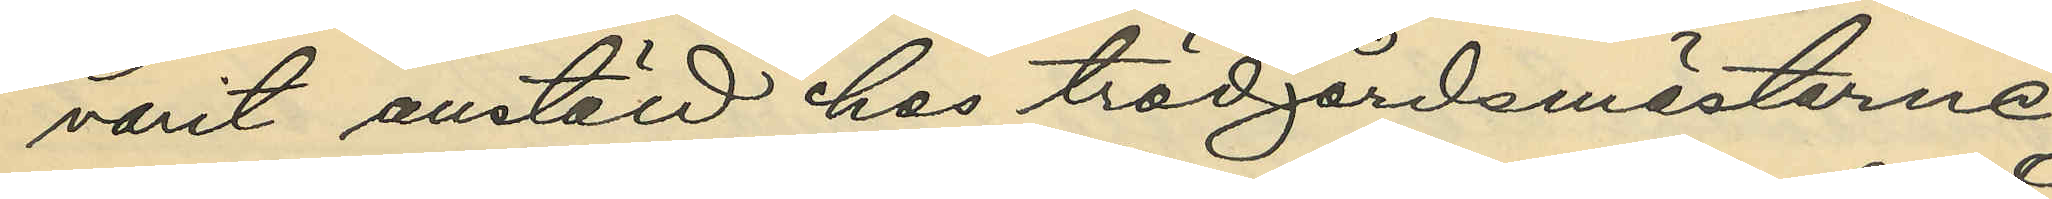varit anställd hos trädgårdsmästarne
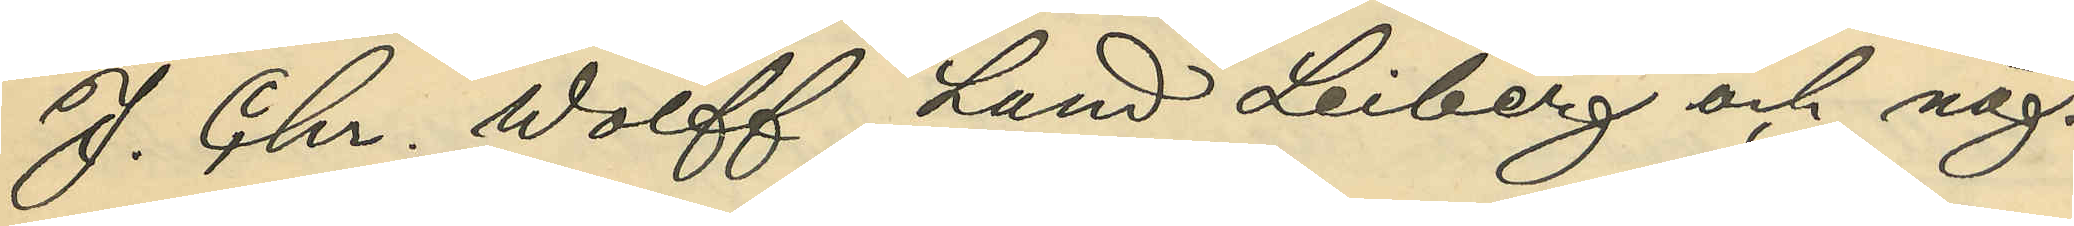J. Chr. Wolff, Lund Leiberg och någ¬
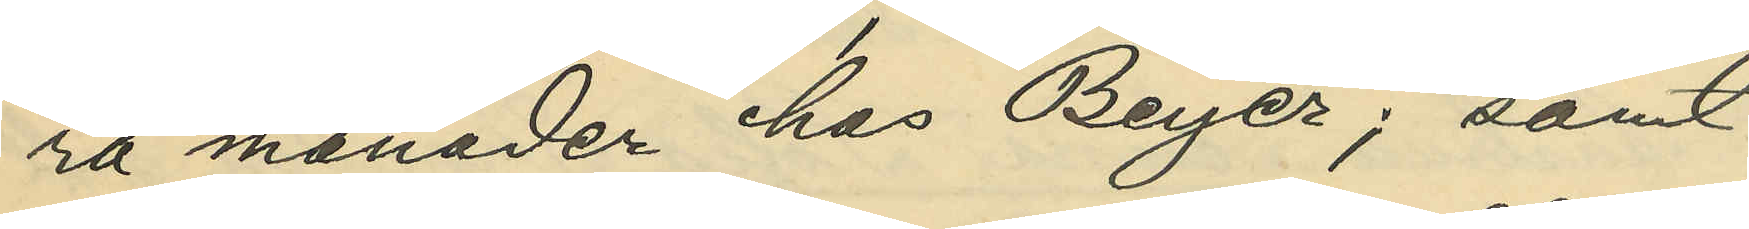ra månader hos Beyer; samt
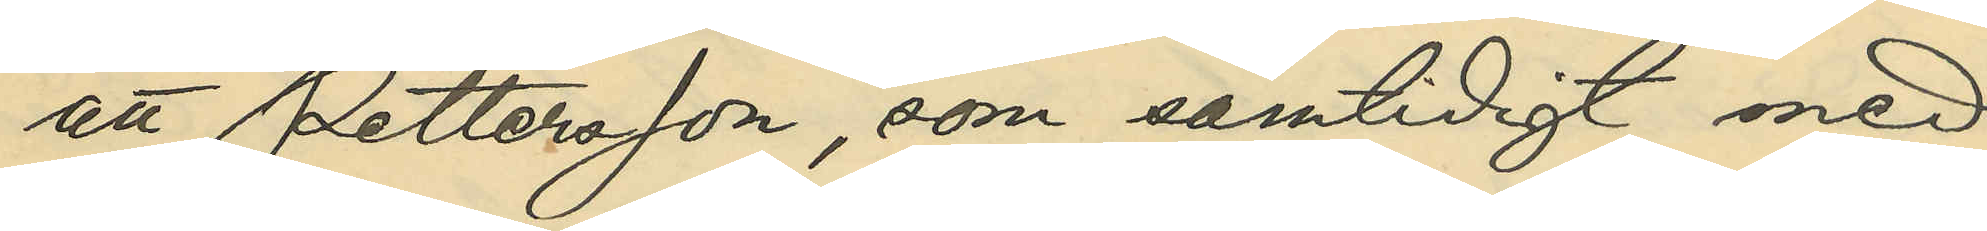att Pettersson, som samtidigt med
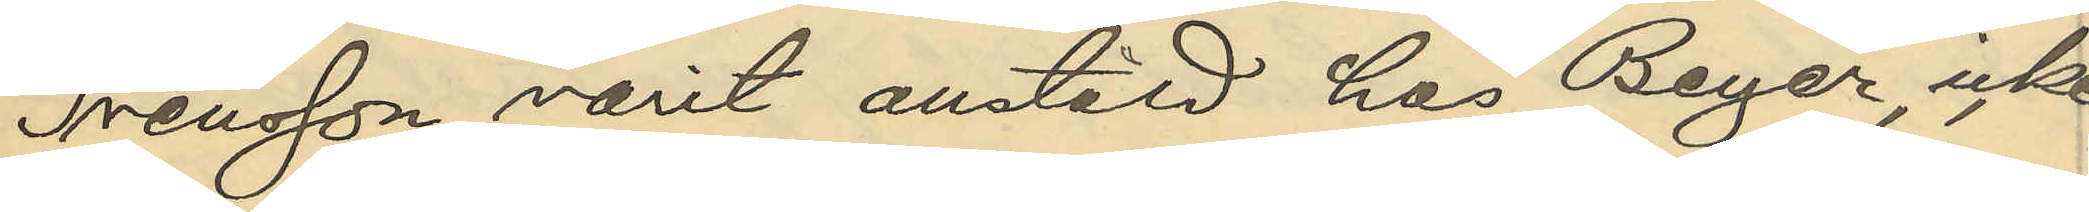Svensson varit anstäld hos Beyer, icke
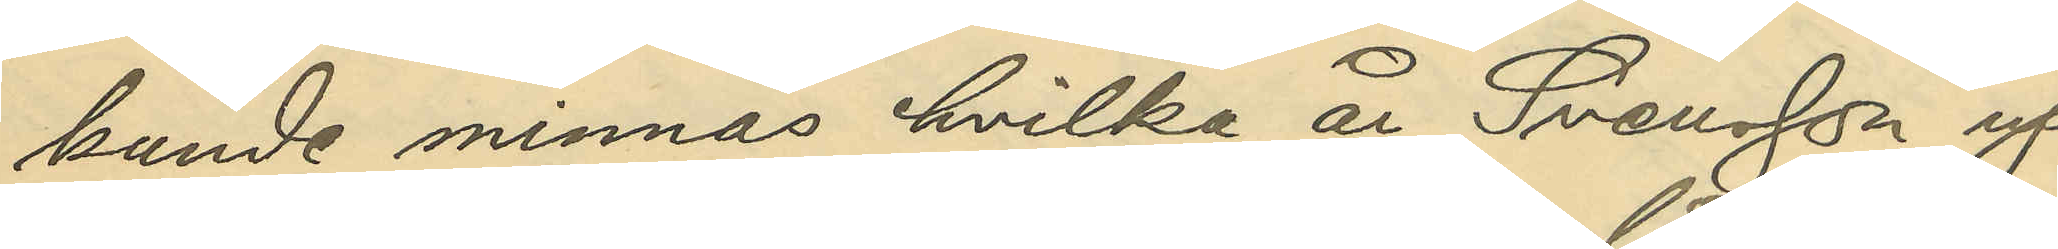kunde minnas hvilka år Svensson up¬
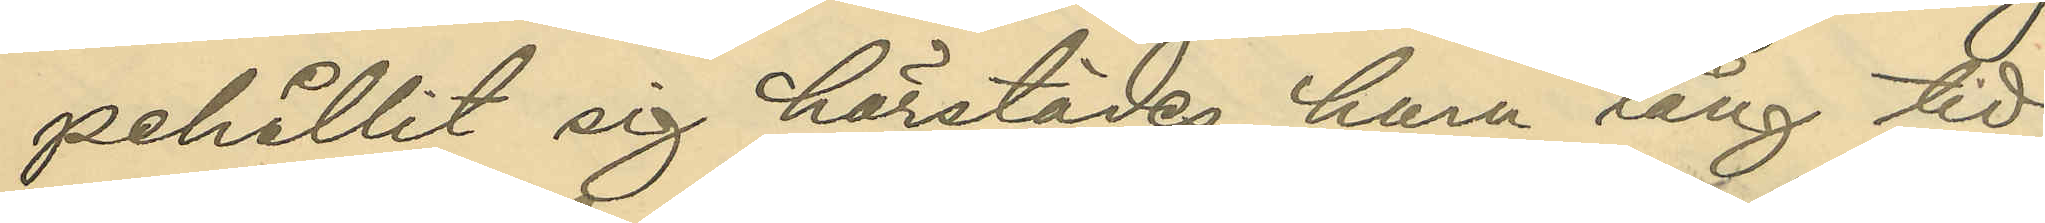pehållit sig härstädes, huru lång tid
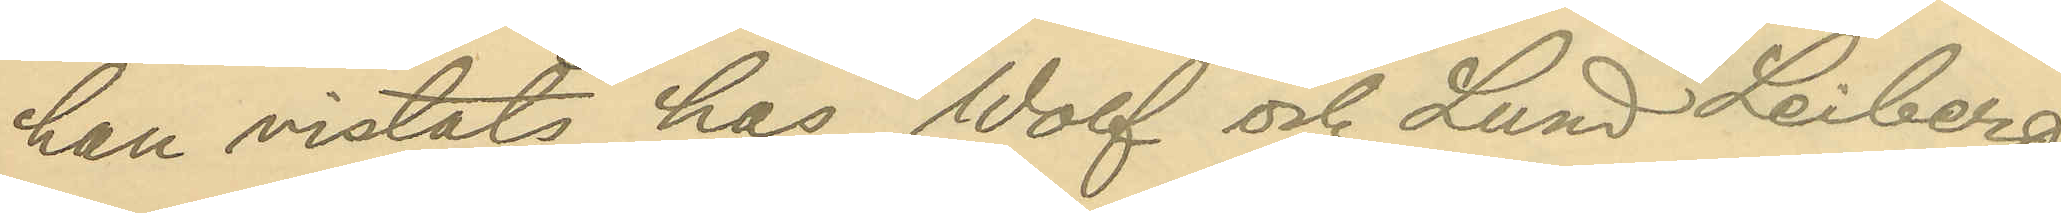han vistats hos Wolf och Lund Leiberg,
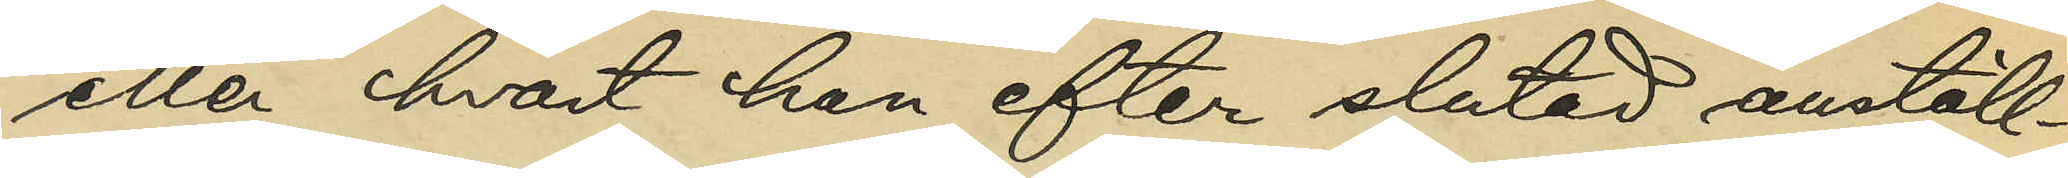eller hvart han efter slutad anställ¬
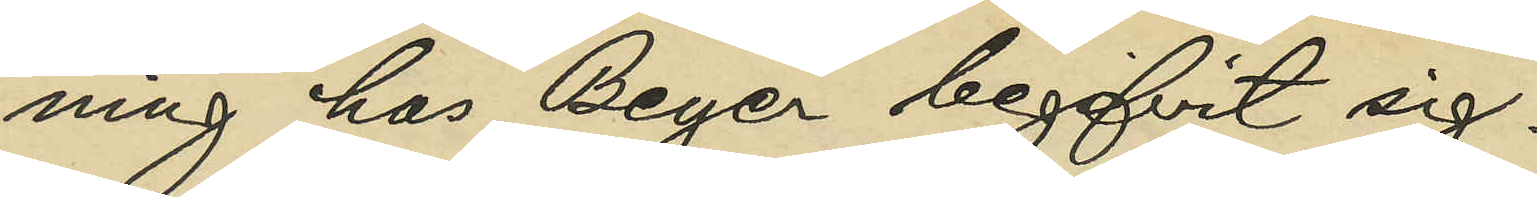ning hos Beyer begifvit sig.
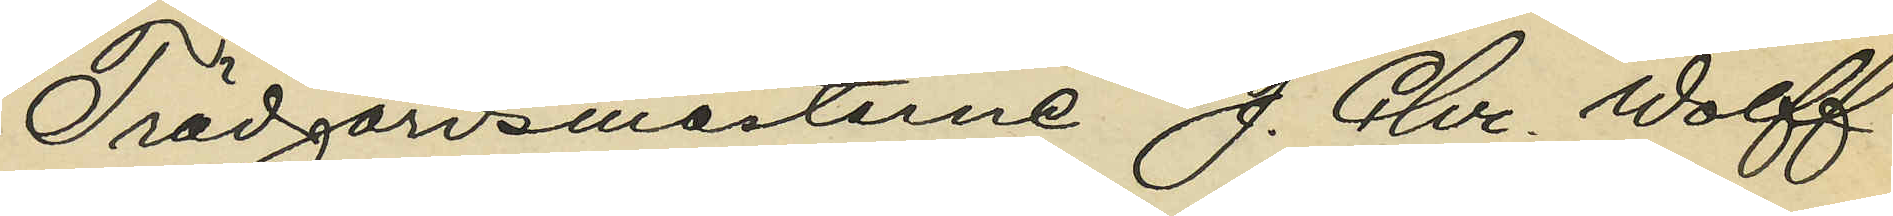Trädgårdsmästarne J. Chr. Wolff
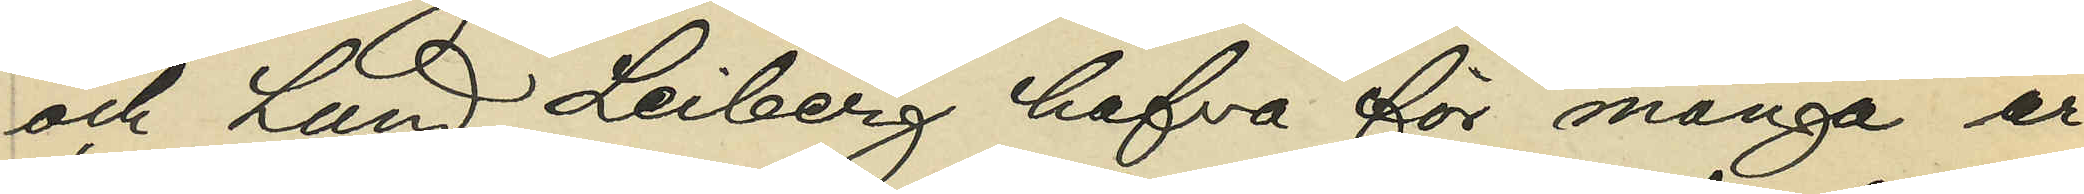och Lund Leiberg hafva för många år
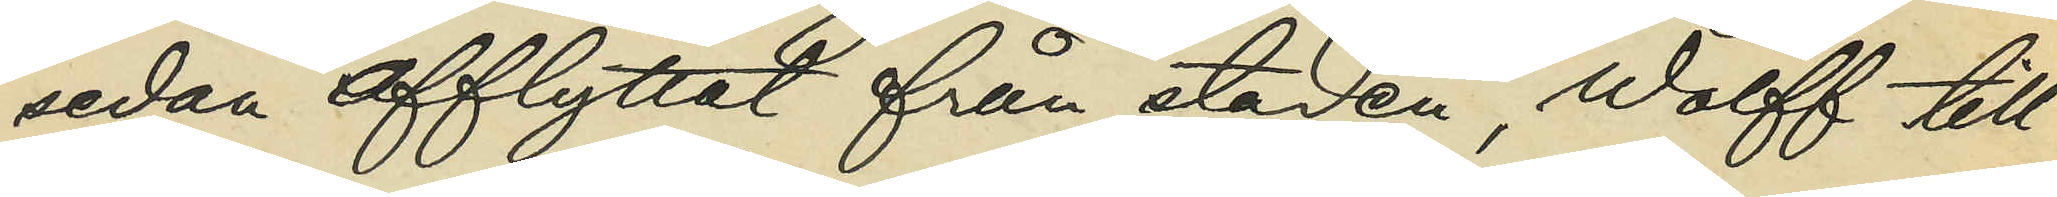sedan afflyttat från staden, Wolff till
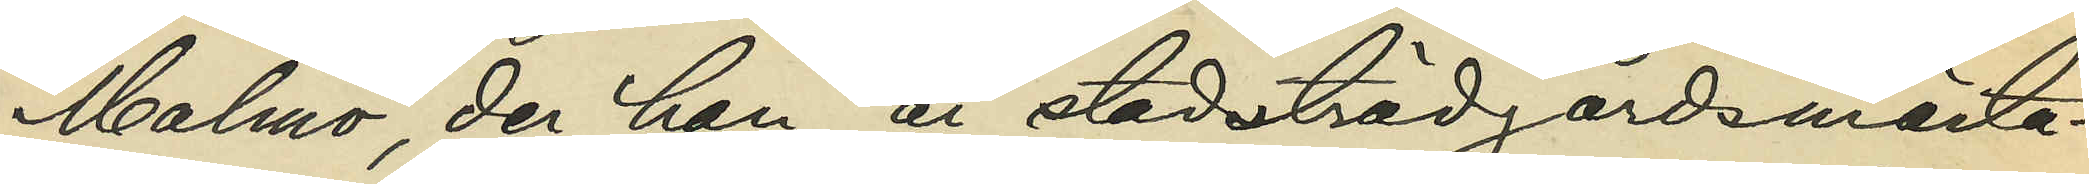Malmö, der han är stadsträdgårdsmästa¬
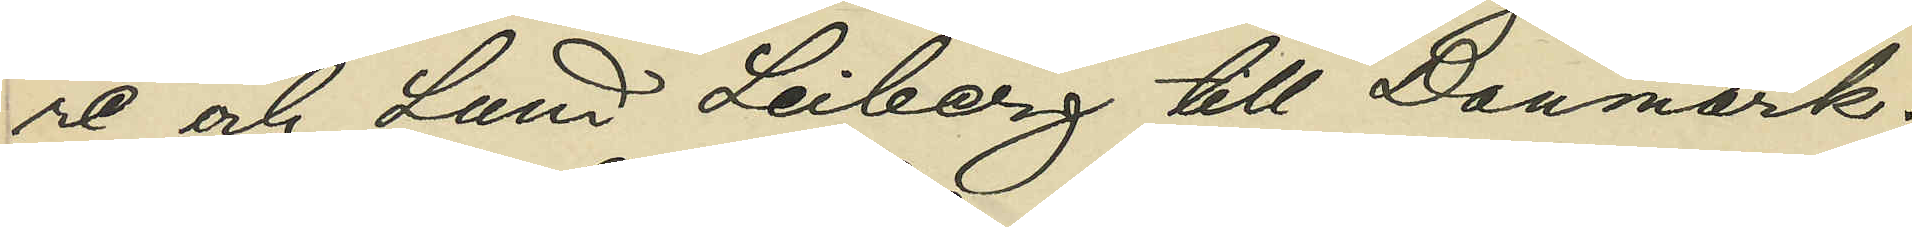re och Lund Leiberg till Danmark.
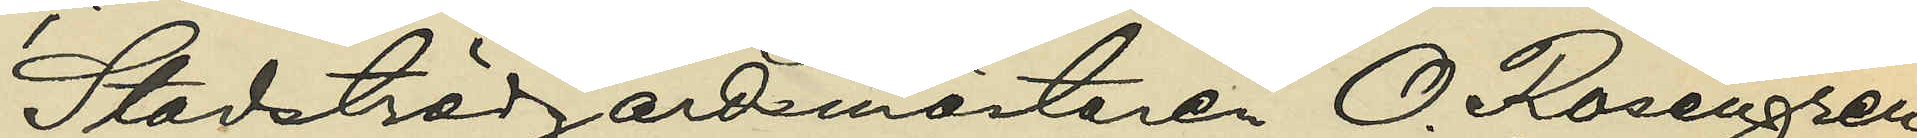Stadsträdgårdsmästaren O. Rosengren,
